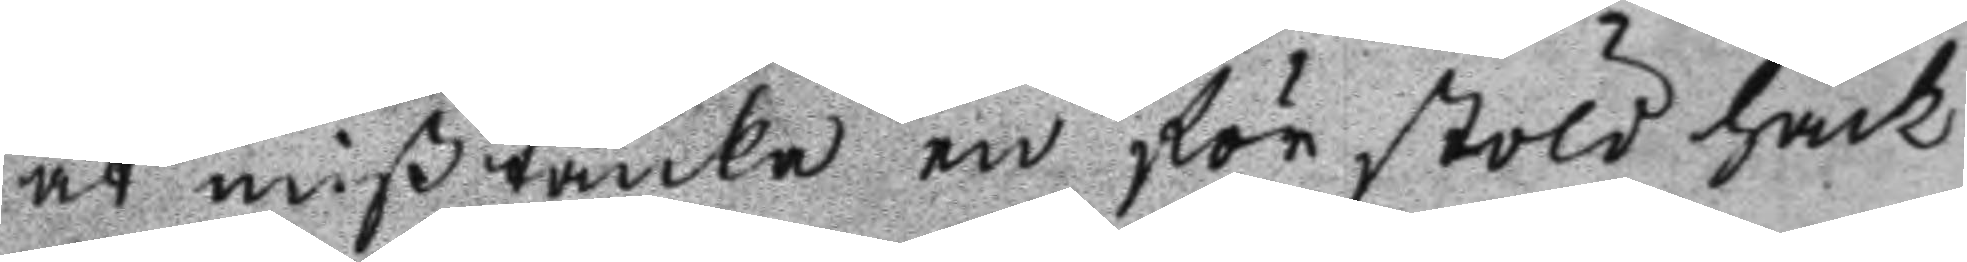at mißtänka en för stöld häck
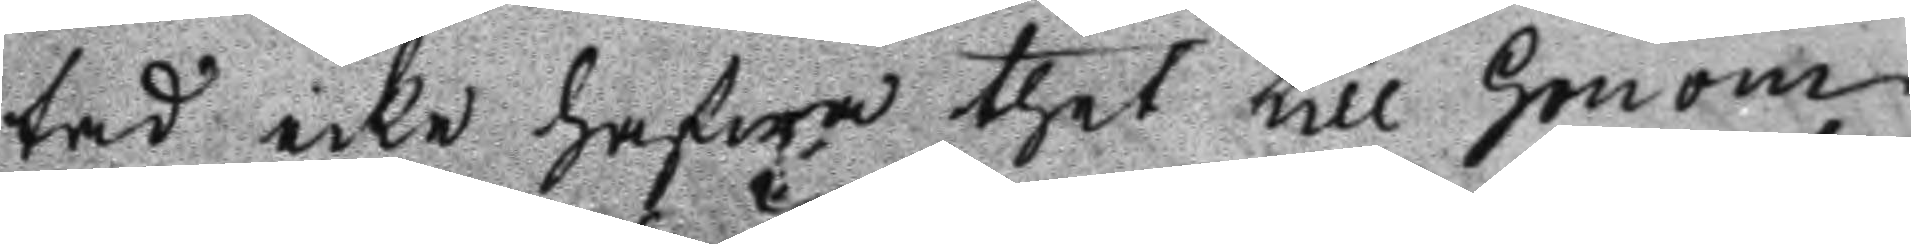tad icke hafwer thet till honom
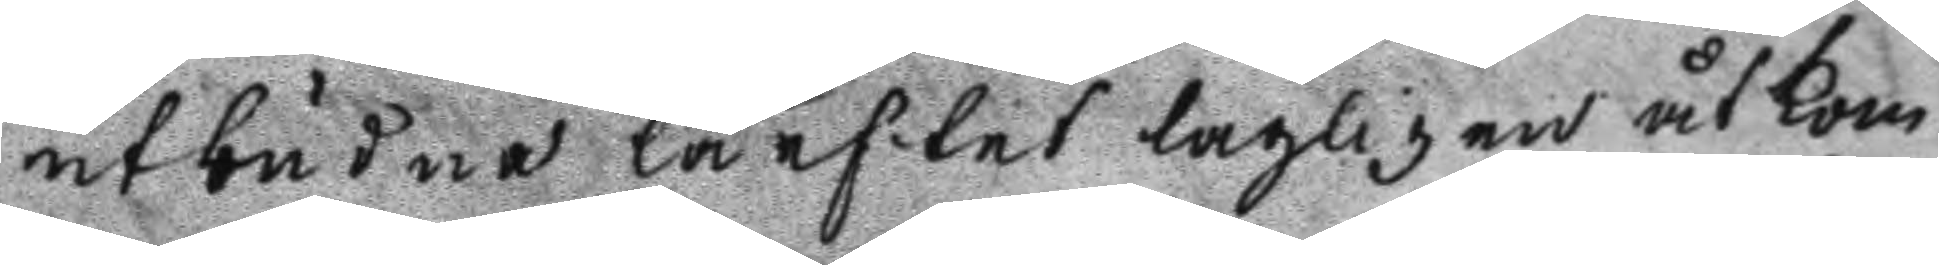utbudne lärftet lagligen åtkom
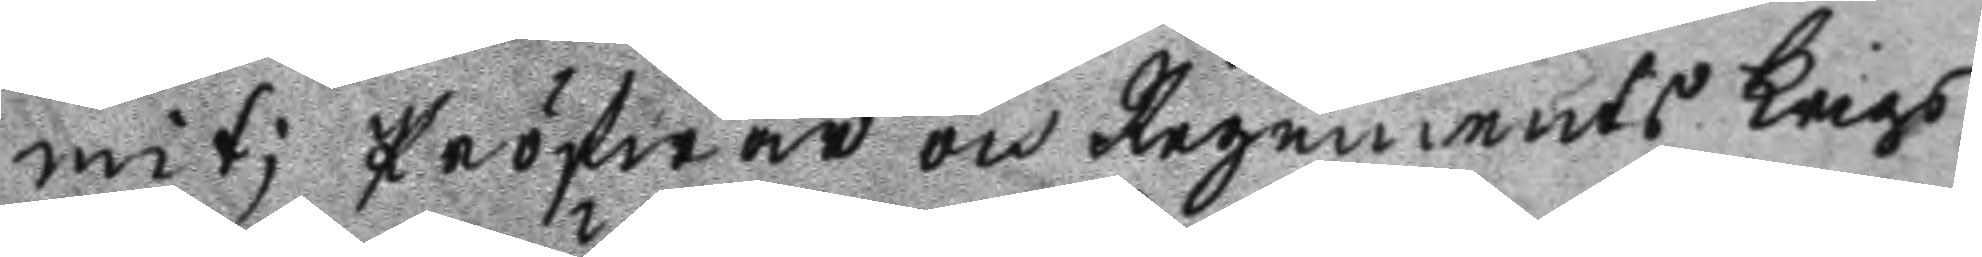mit; Pröfwar och Regements Krigs
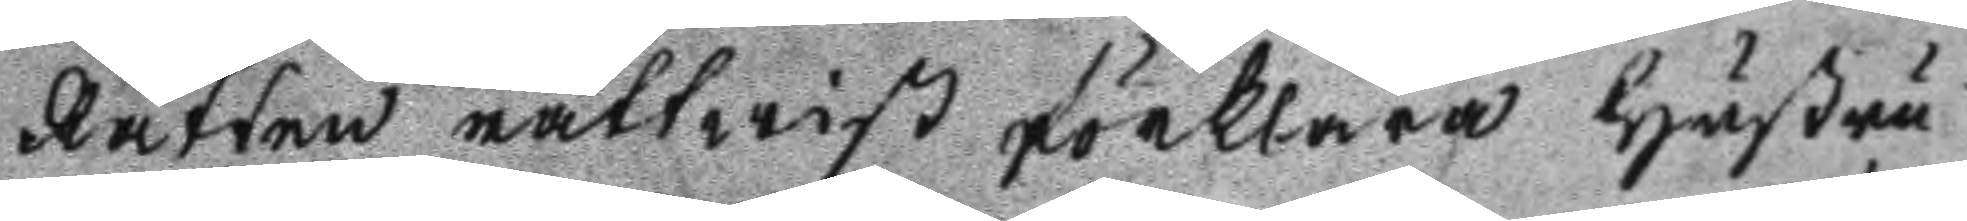Rätten rättwist förklara hustru
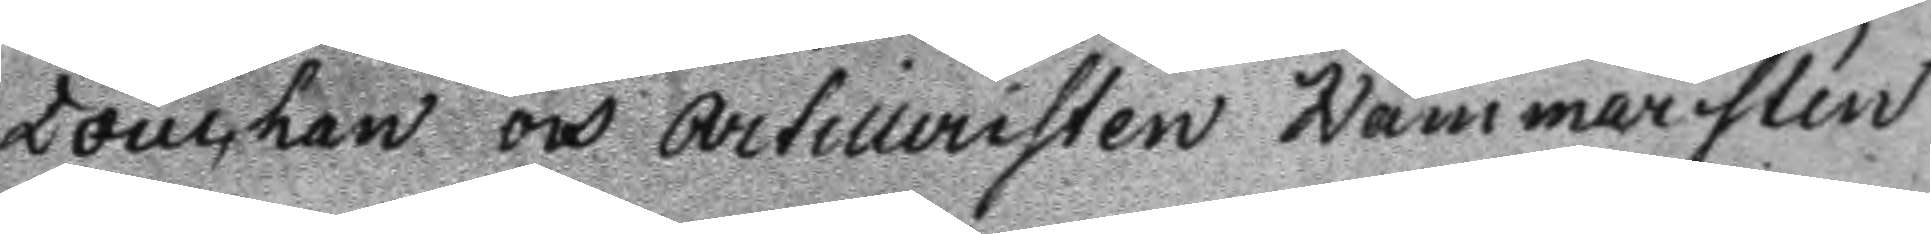Douchan och artilleristen Hammarstén
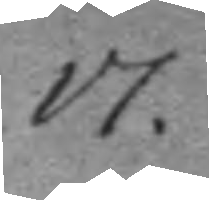17.
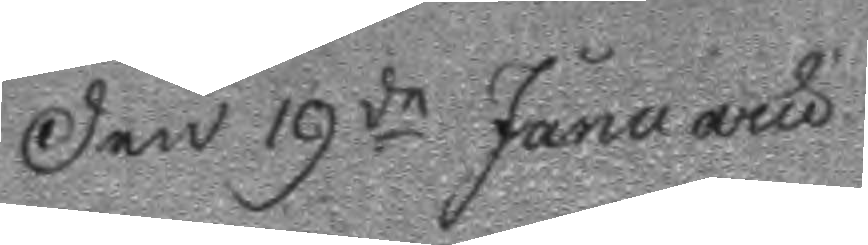Den 19de Januaru
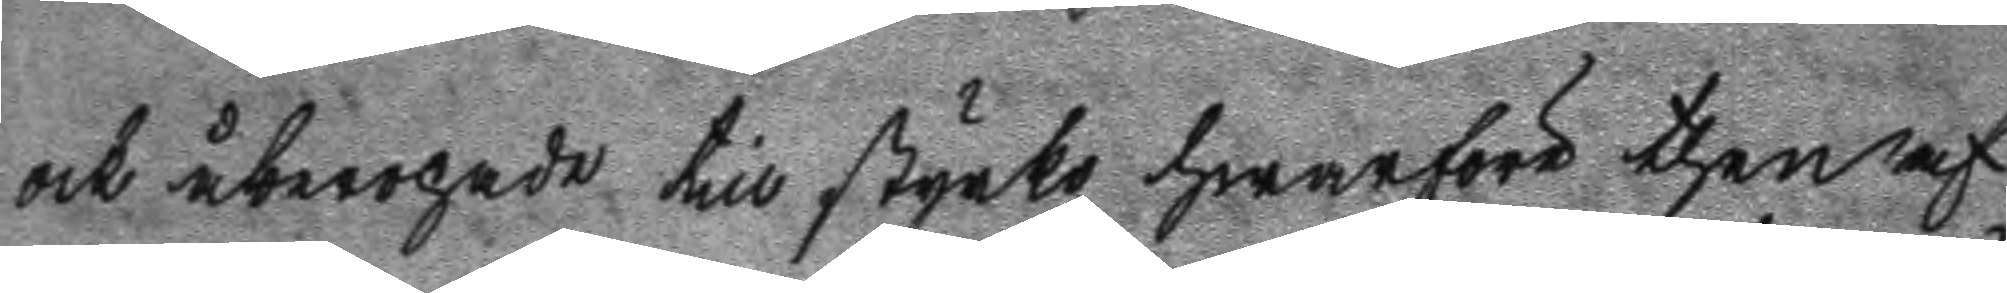ock åberopade till styrko hwarför then af
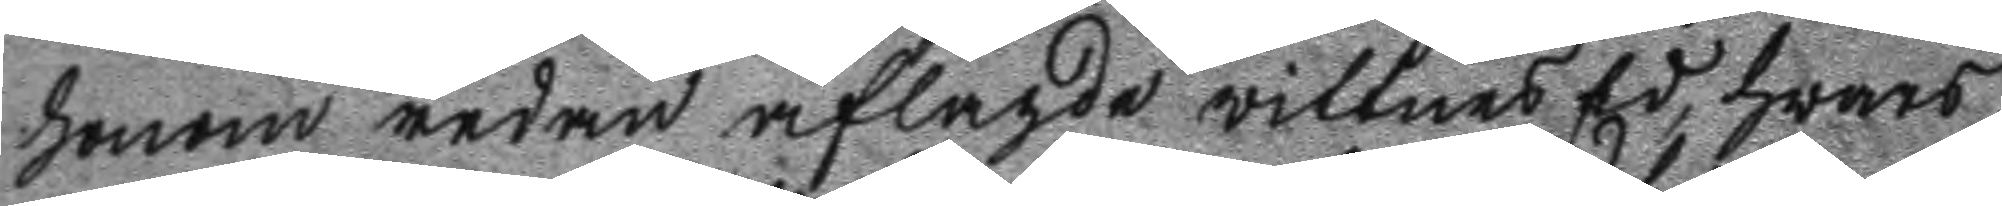honom redan aflagde wittnes Ed, hwars
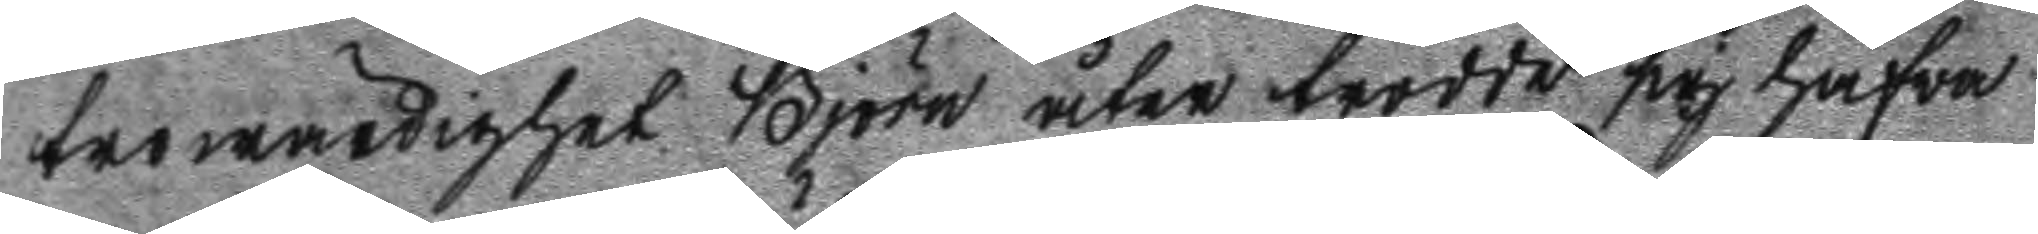trowärdighet Björn åter trodde sig hafwa
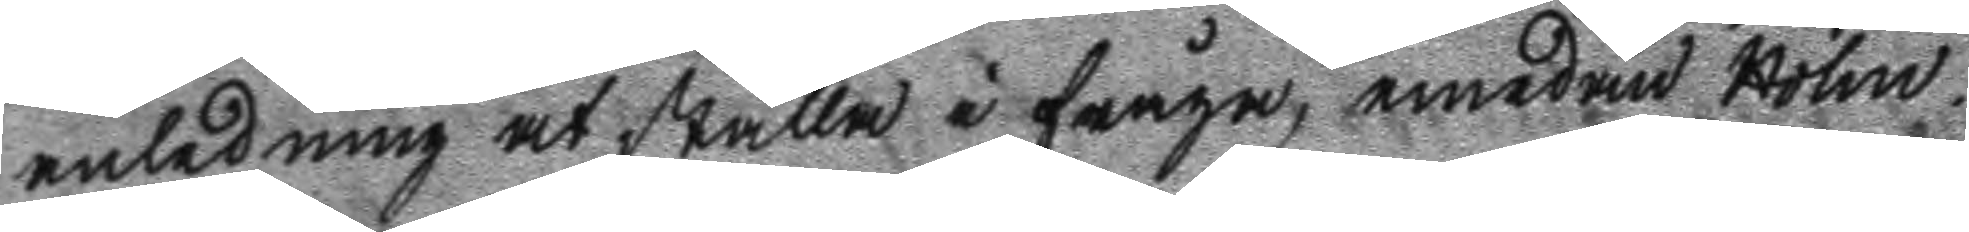anledning at ställa i fråga, emedan Holm
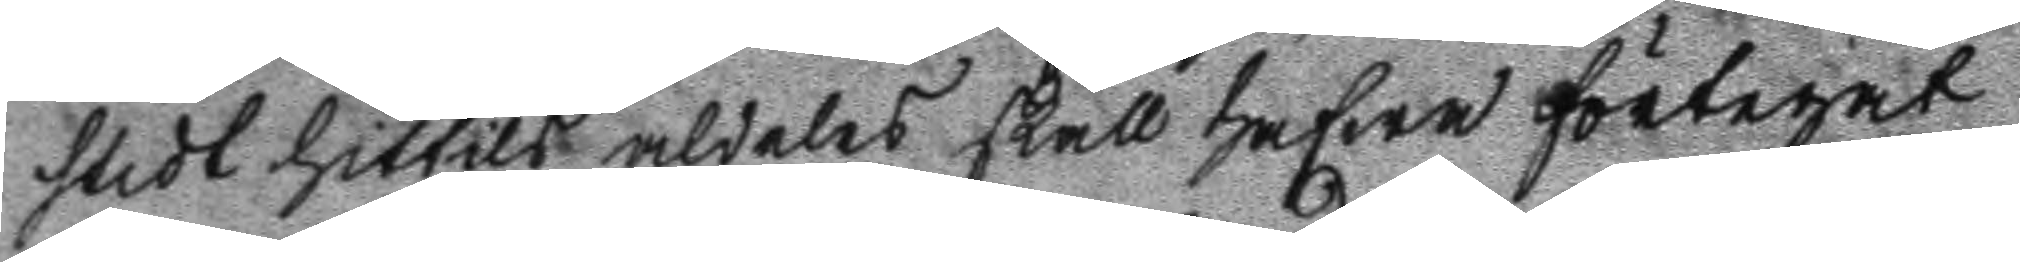stedt hittils aldeles skall hafwa förtegat
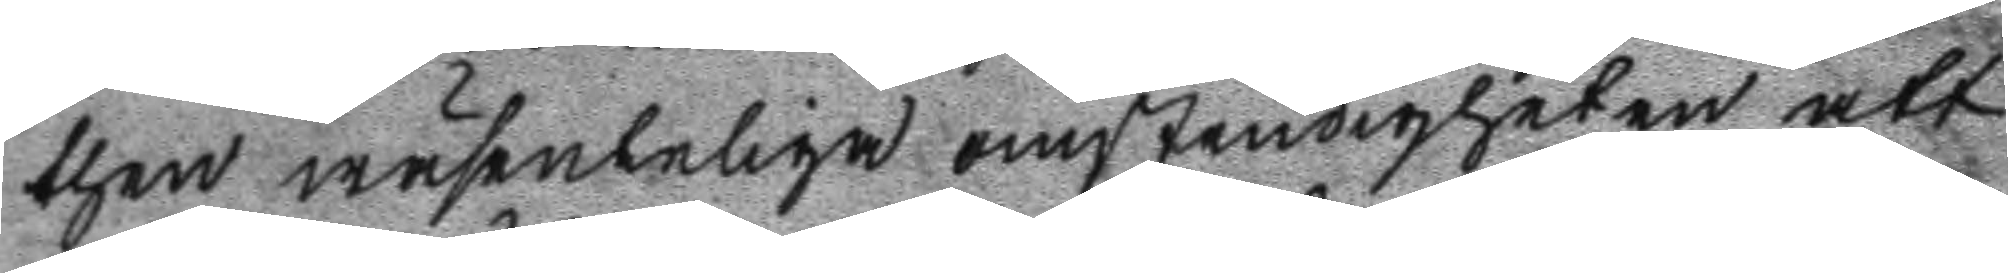then wäsenteliga omständigheten att
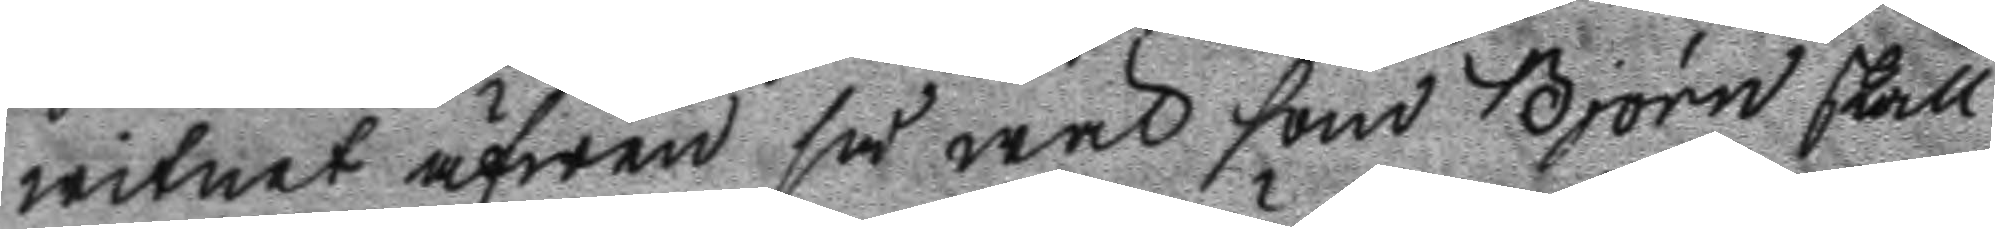witnet äfwen så wäl som Björn skall
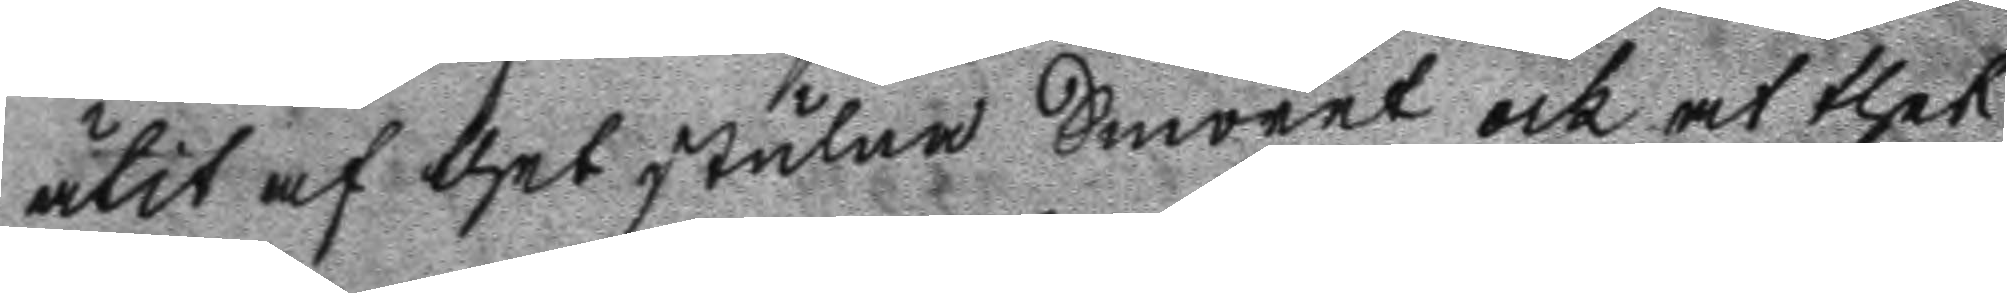ätit af thet stulna Smöret och at thet
